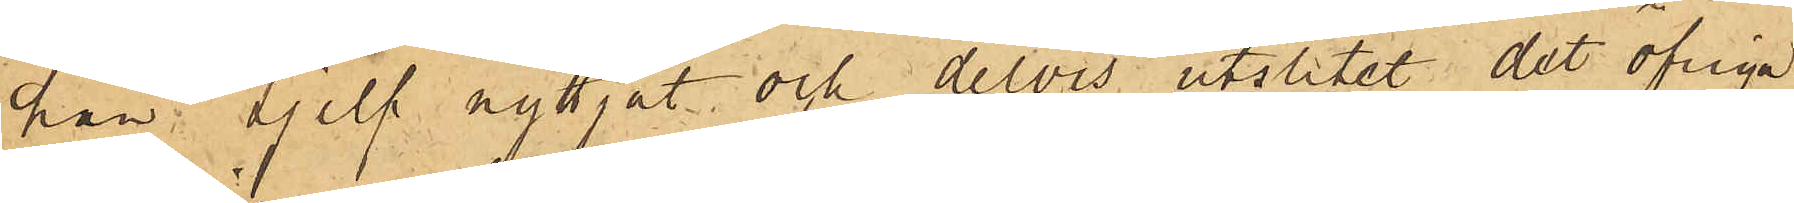han sjelf nyttjat och delvis utslitet det öfriga
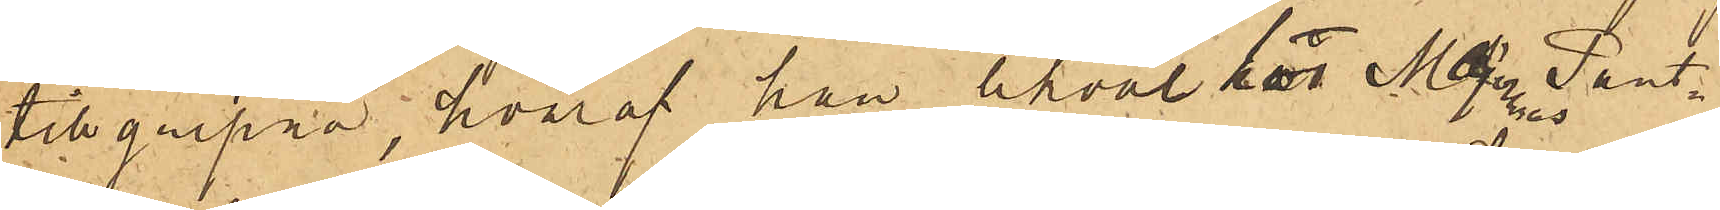tillgripna, hvaraf han likväl hos Majornas Pant¬
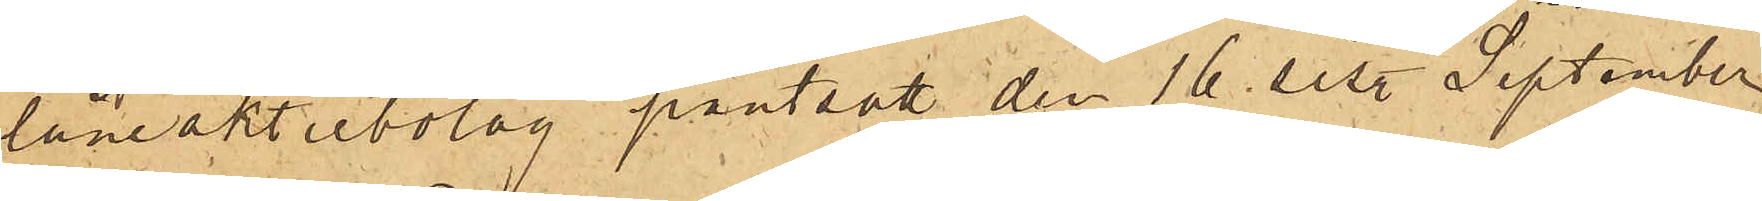låneaktiebolag pantsatt den 16 sist. September
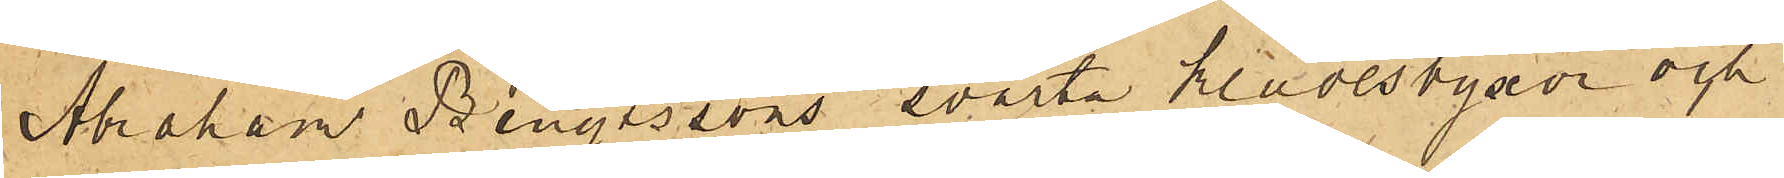Abraham Bengtssons svarta klädesbyxor och
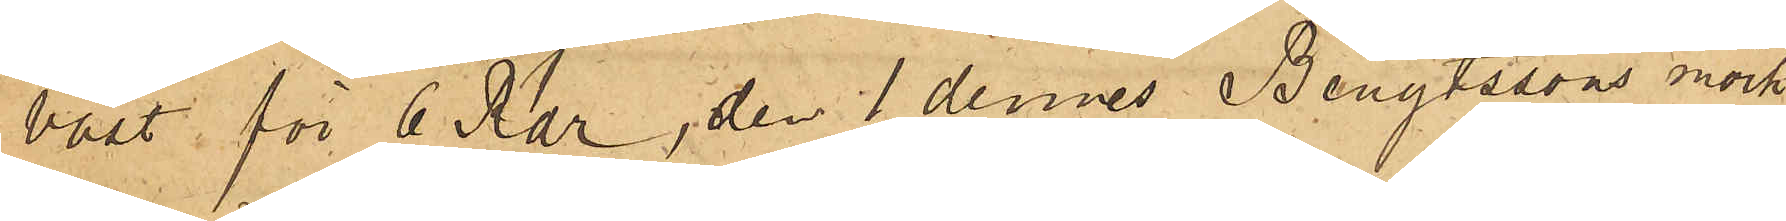väst för 6 Rdr, den 1 dennes Bengtssons mörk¬
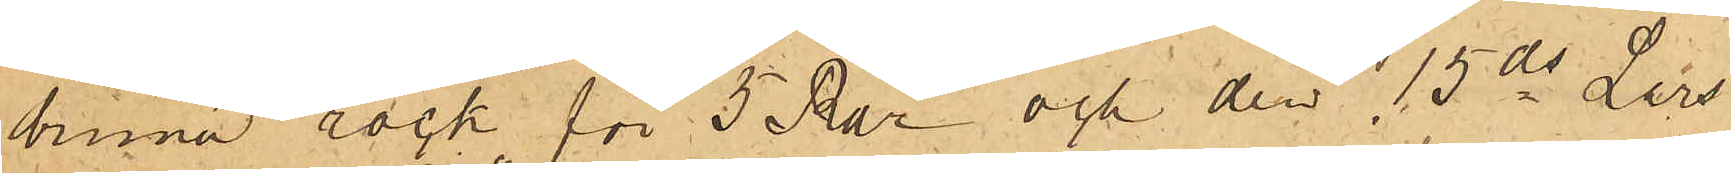bruna rock för 5 Rdr och den 15 ds Lars
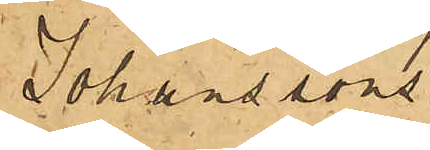Johanssons
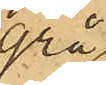grå
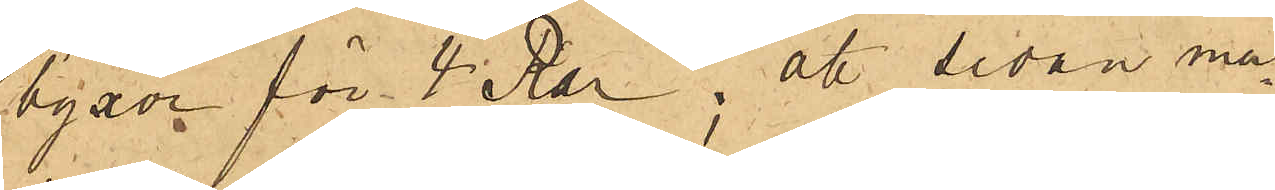byxor för 4 Rdr; att sedan ma¬
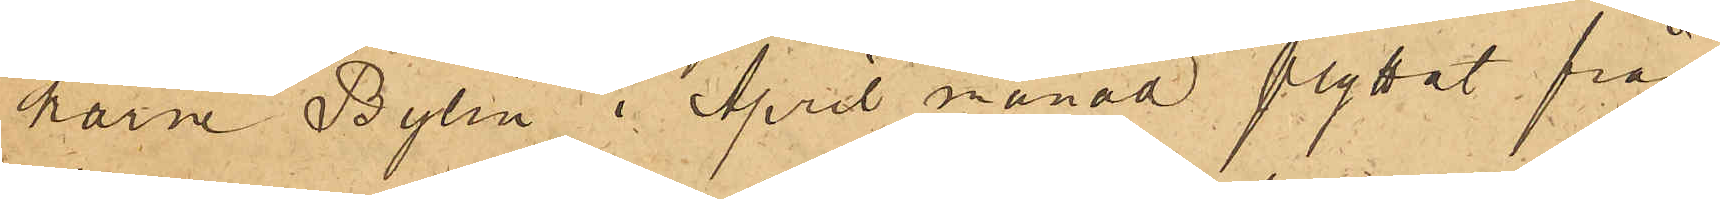karna Bylin i April månad flyttat från
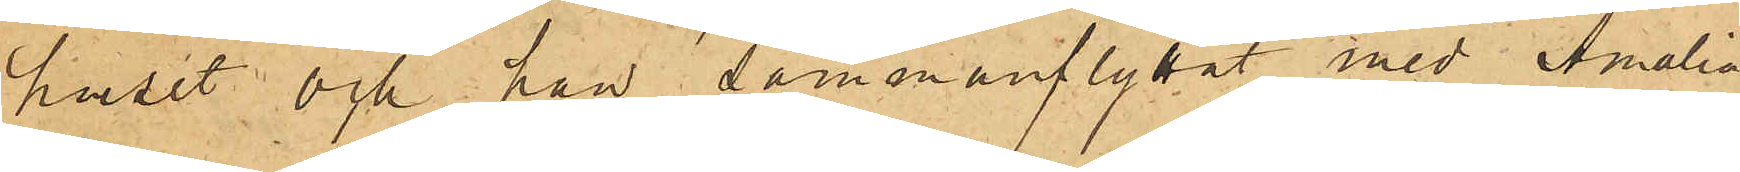huset och han sammanflyttat med Amalia
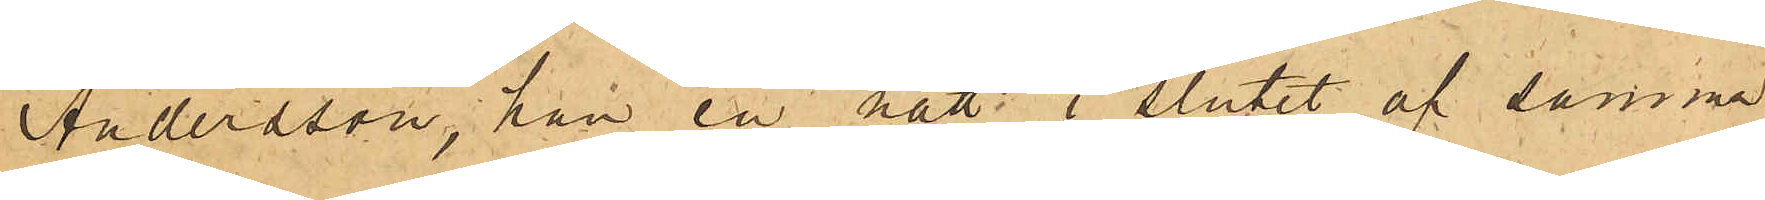Andersson, han en natt i slutet af samma
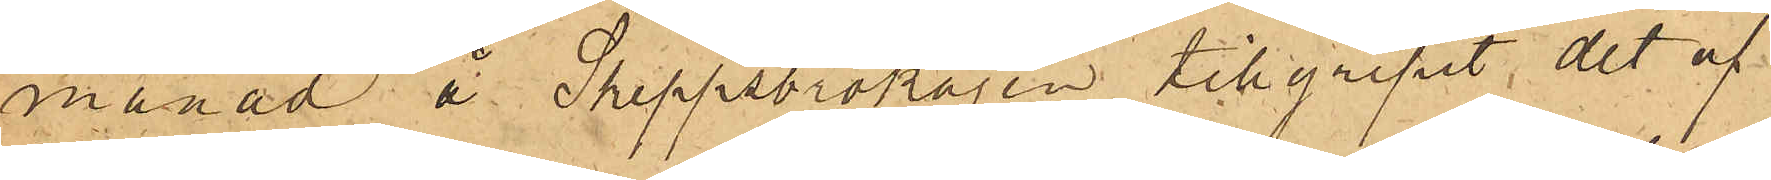månad å Skeppsbrokajen tillgripit det af
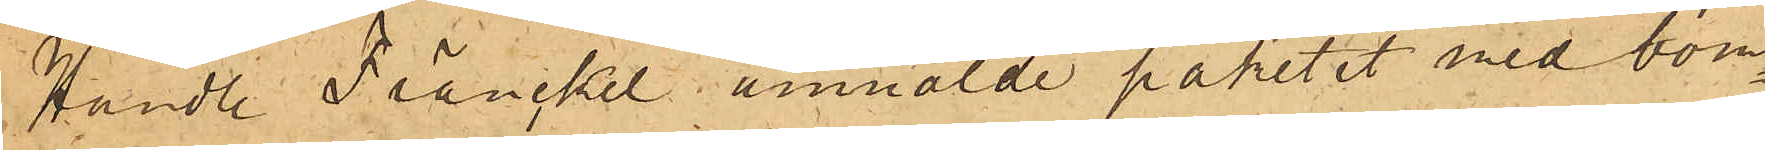Handl Fränckel anmälde paketet med bom¬
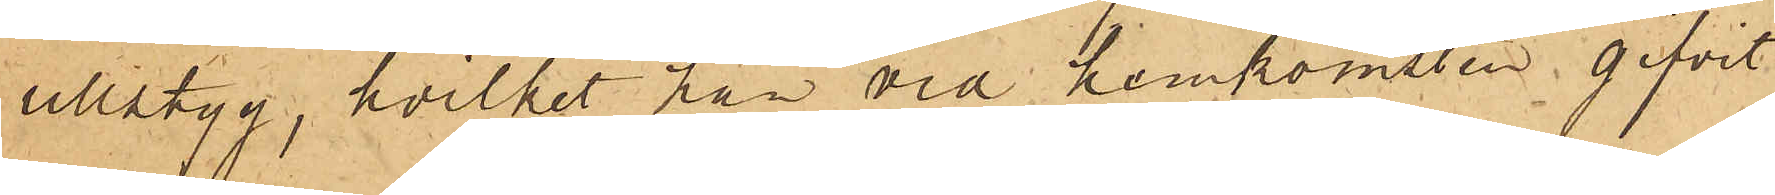ullstyg, hvilket han vid hemkomsten gifvit
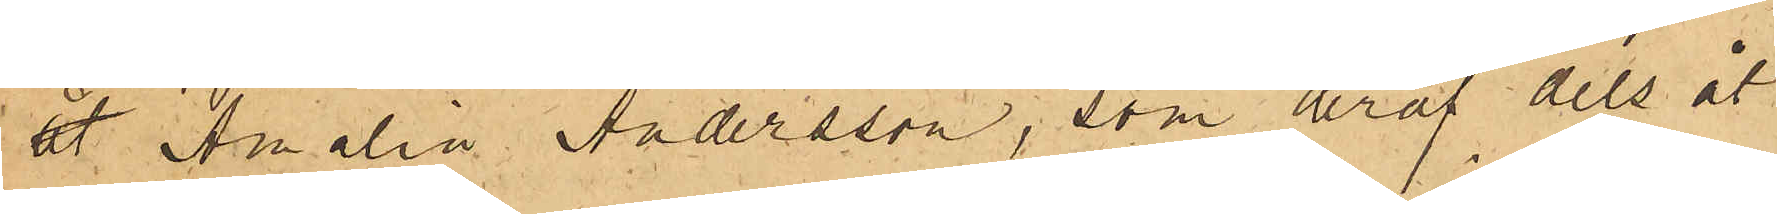åt Amalia Andersson, som deraf dels åt
